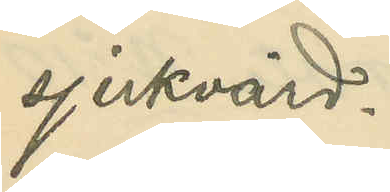sjukvård.
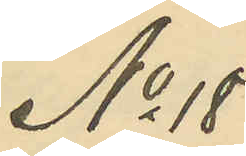No 18
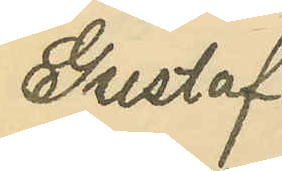Gustaf
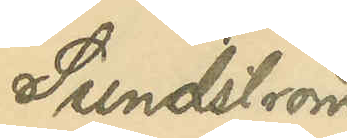Sundström
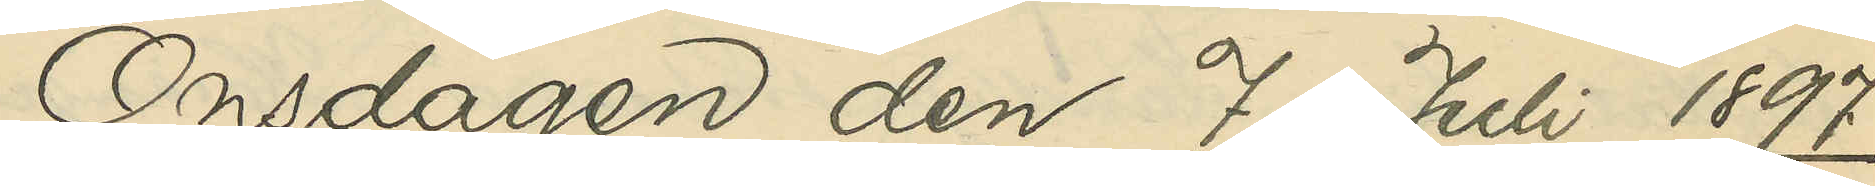Onsdagen den 7 Juli 1897.
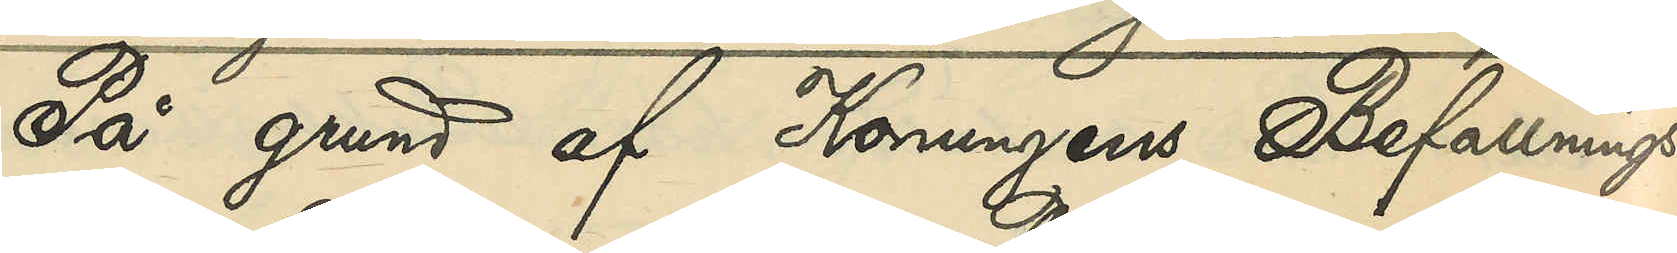På grund af Konungens Befallnings¬
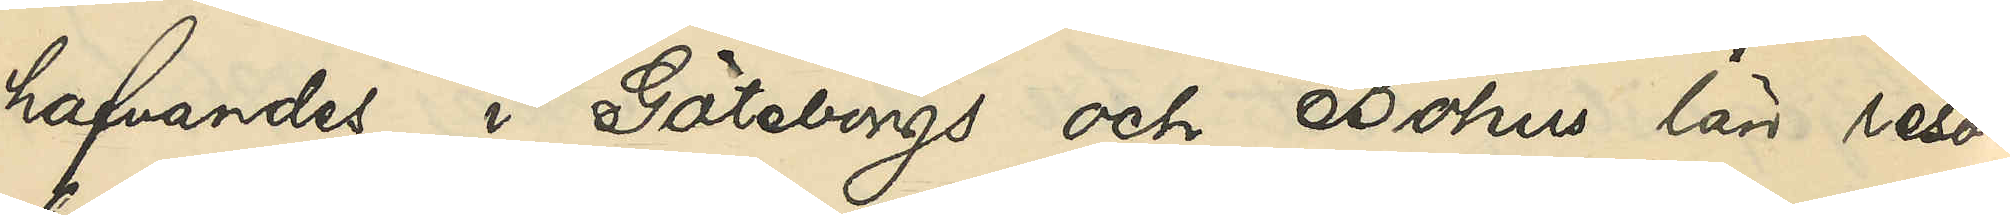hafvandes i Göteborgs och Bohus län reso¬
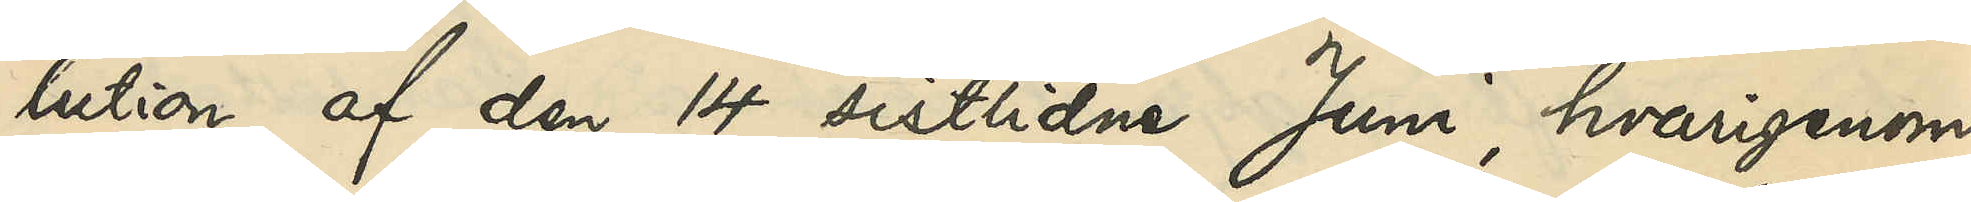lution af den 14 sistlidne Juni, hvarigenom
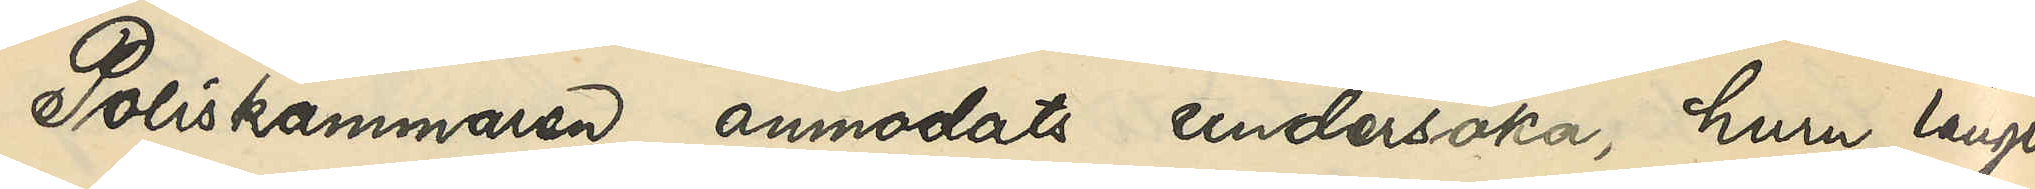Poliskammaren anmodats undersöka, huru länge
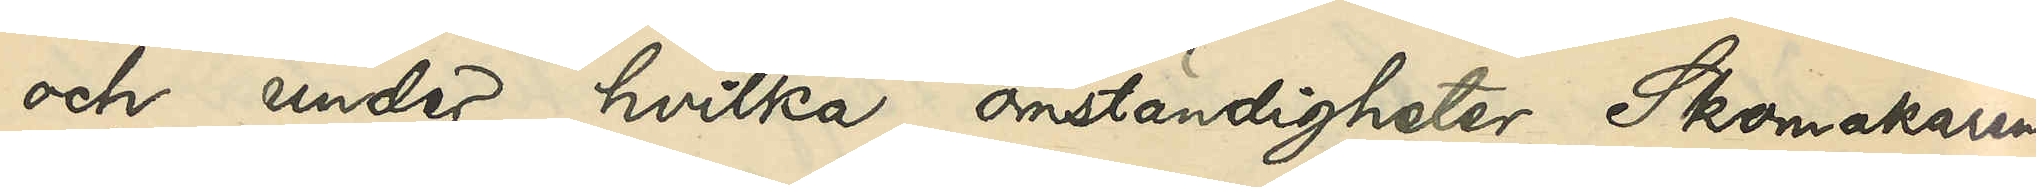och under hvilka omständigheter Skomakaren
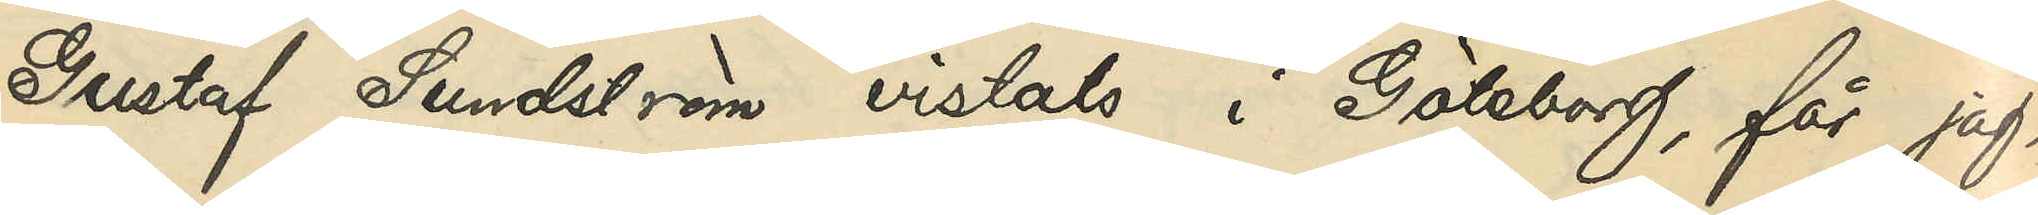Gustaf Sundström vistats i Göteborg, får jag,
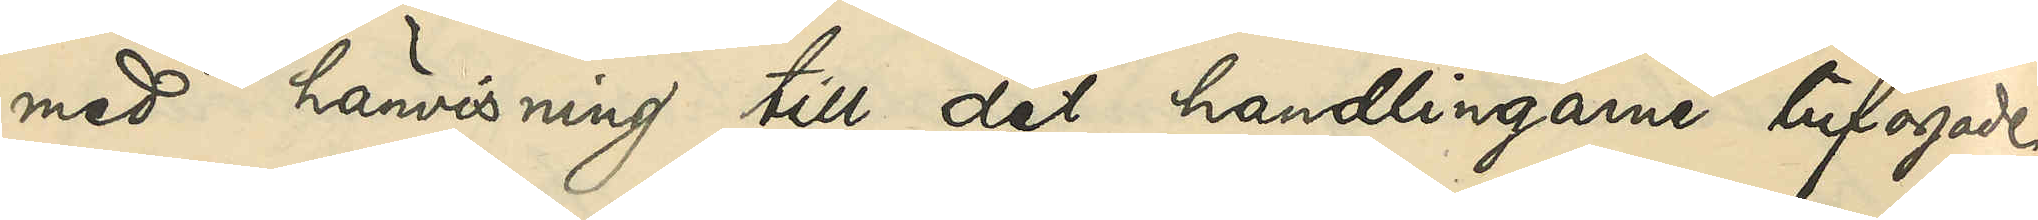med hänvisning till det handlingarne bifogade
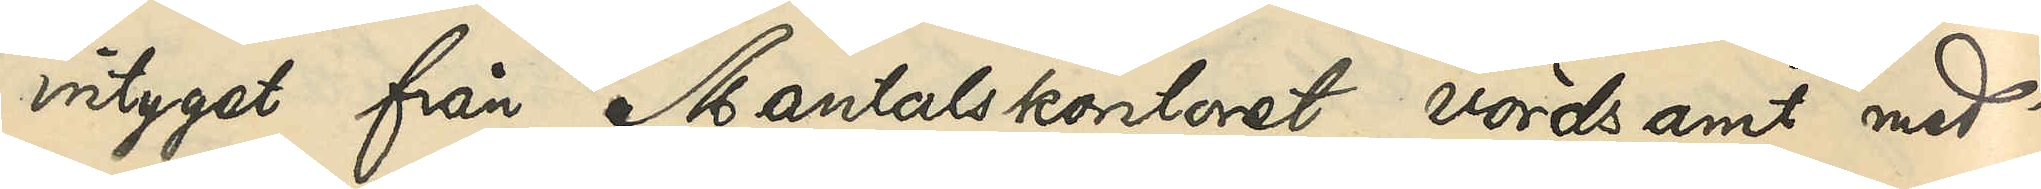intyget från Mantalskontoret vördsamt med¬
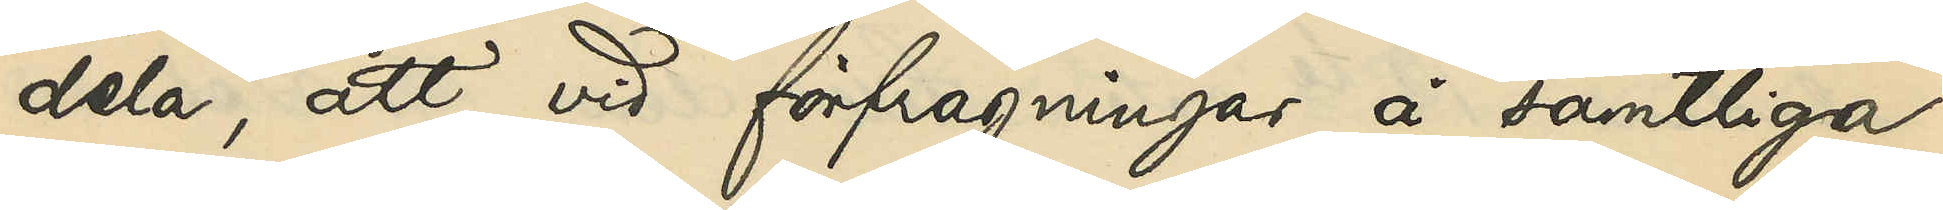dela, att vid förfrågningar å samtlige
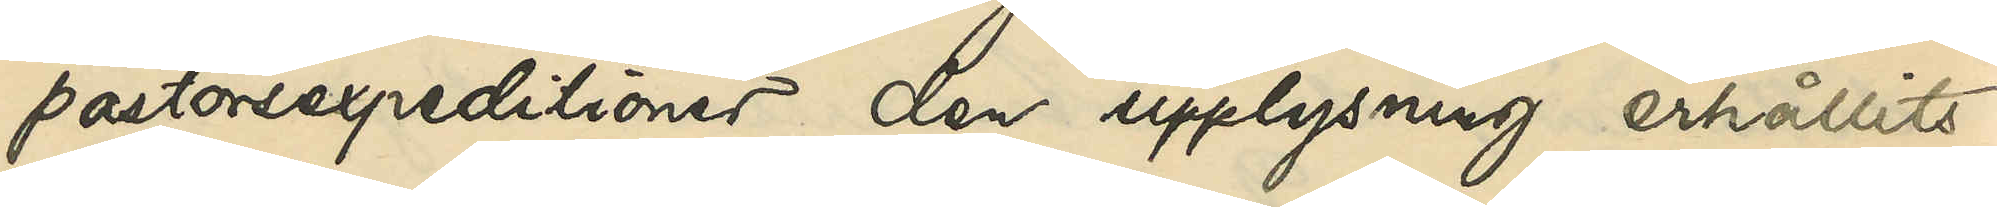pastorsexpeditioner den upplysning erhållits,
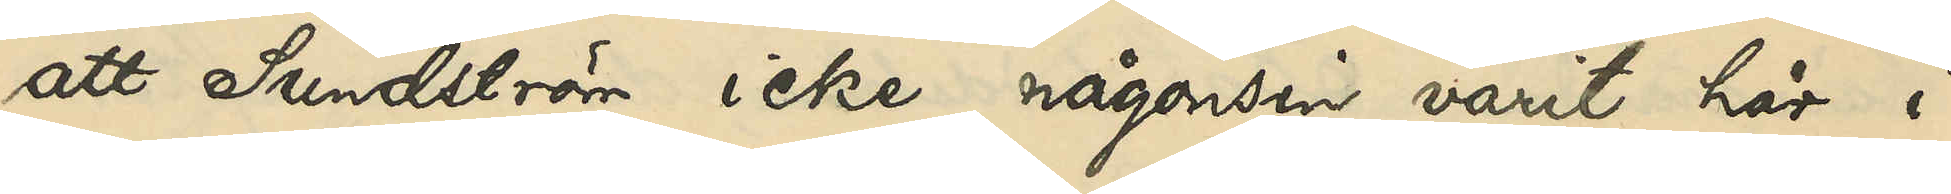att Sundström icke någonsin varit här i
